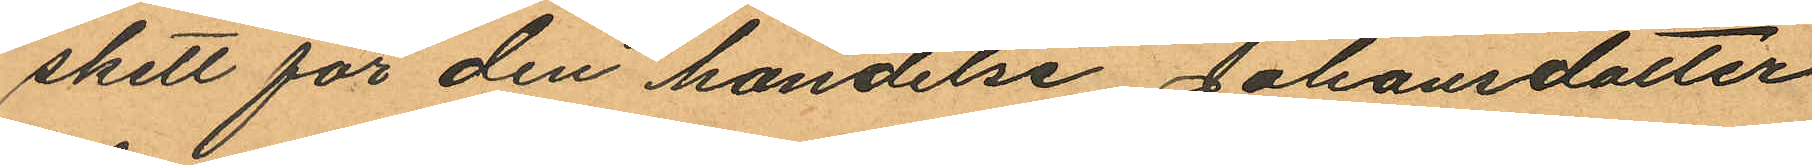skett för den händelse Johansdotter
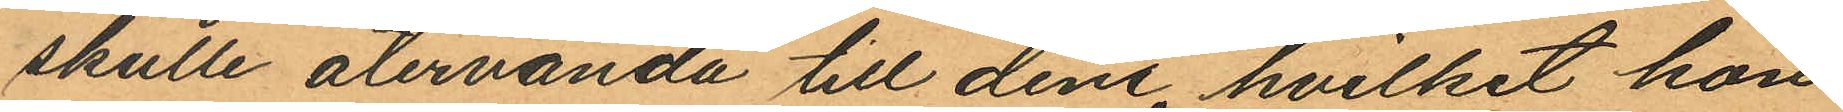skulle återvända till dem, hvilket hon
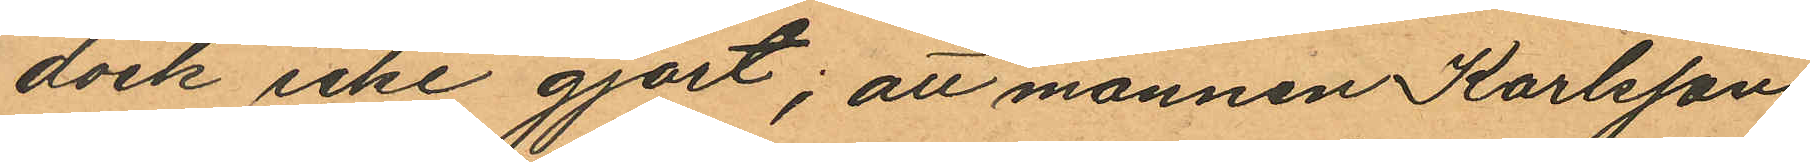dock icke gjort; att mannen Karlsson,
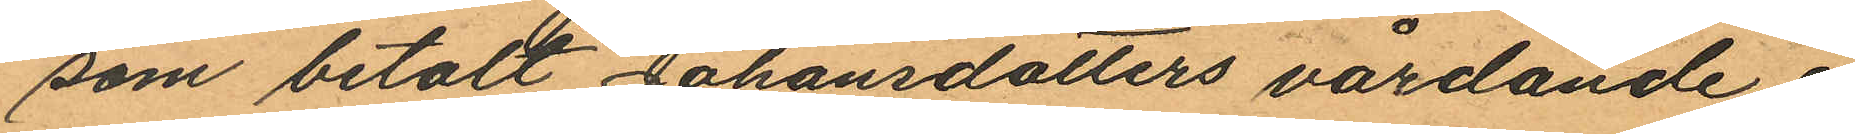som betalt Johansdotters vårdande å
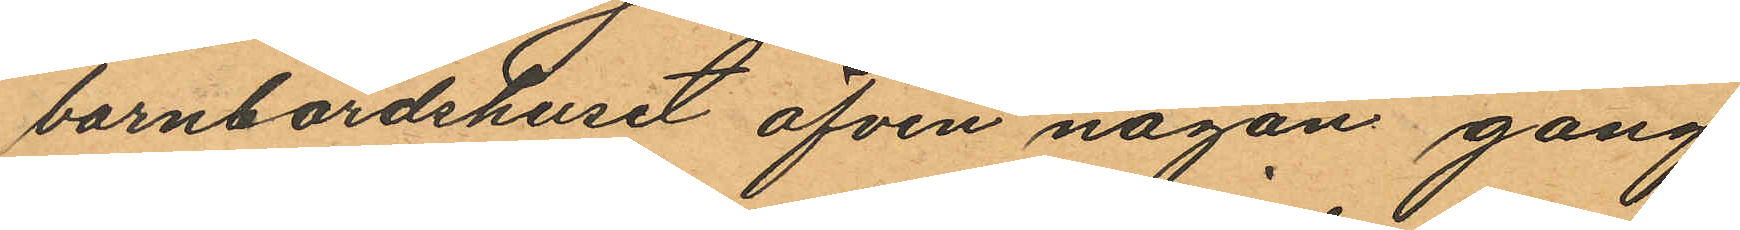barnbördshuset äfven någon gång
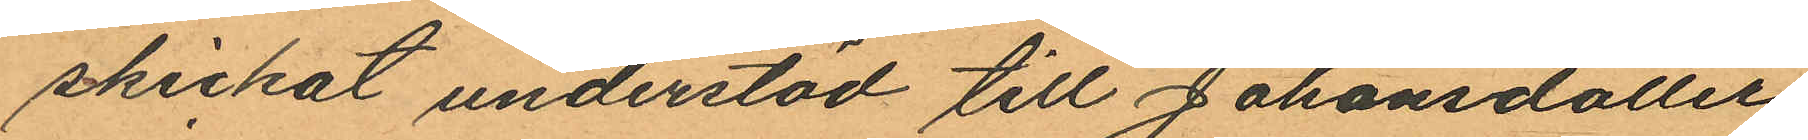skickat understöd till Johansdotter
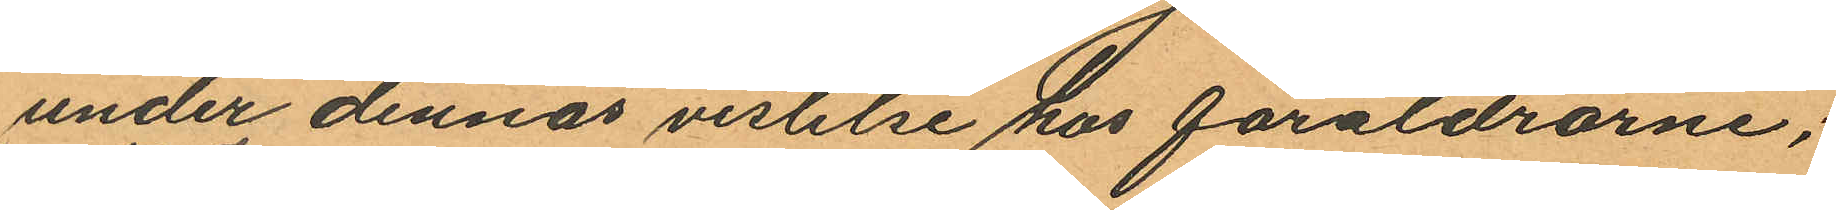under dennas vistelse hos föräldrarne;
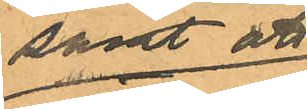samt att
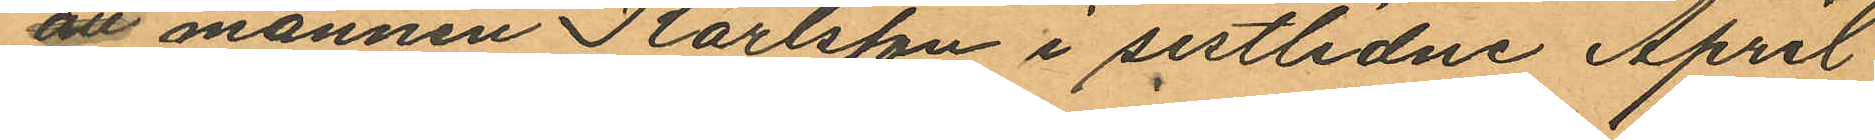att mannen Karlsson i sistlidne April
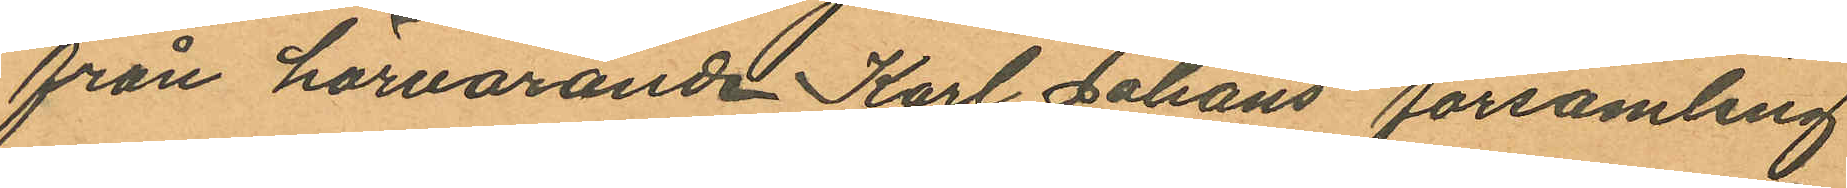från härvarande Karl Johans församling
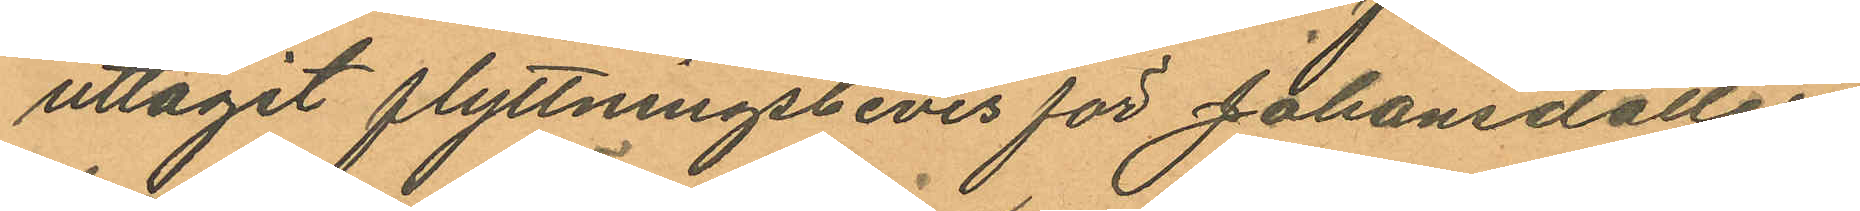uttagit flyttningsbevis för Johansdotter
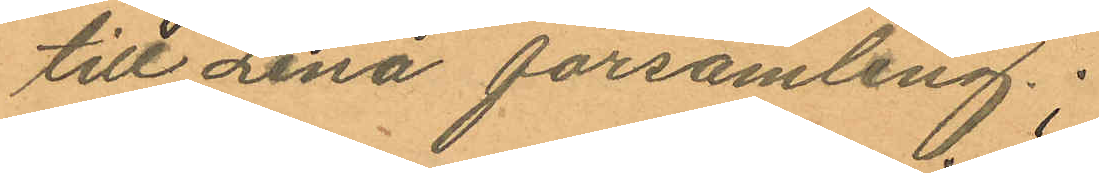till Lena församling;
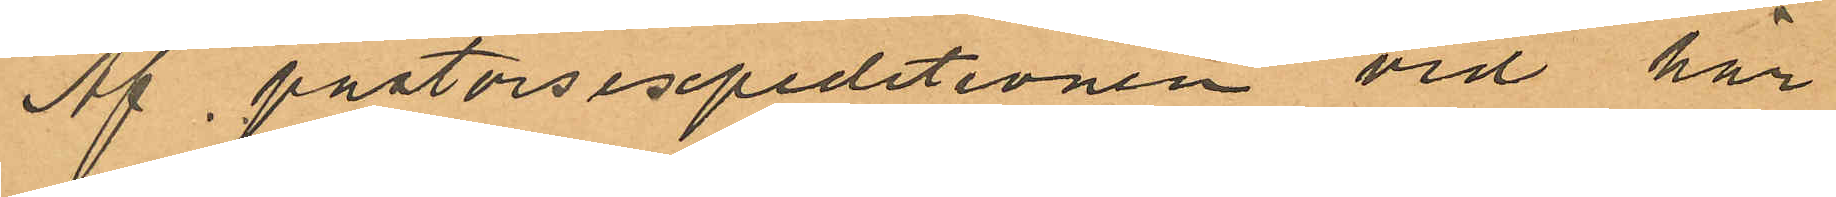Af pastorsexpeditionen vid här¬
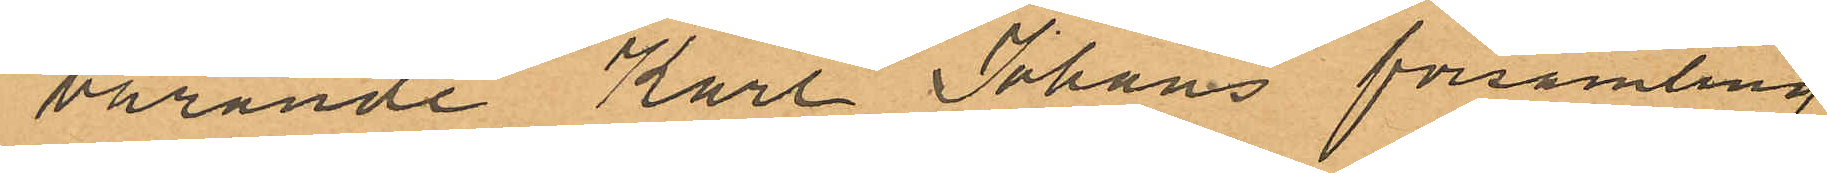varande Karl Johans församling
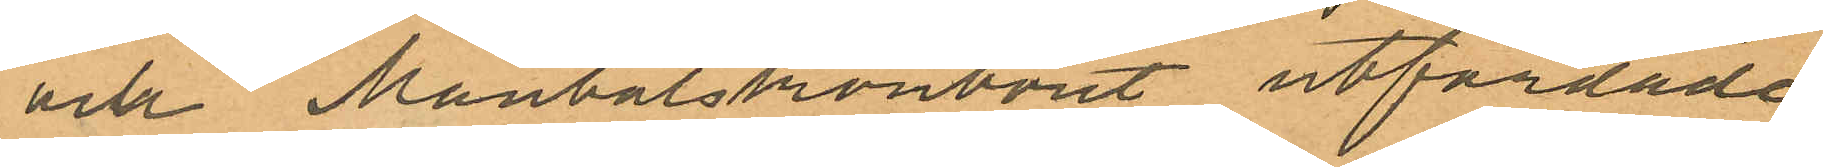och Mantalskontoret utfärdade
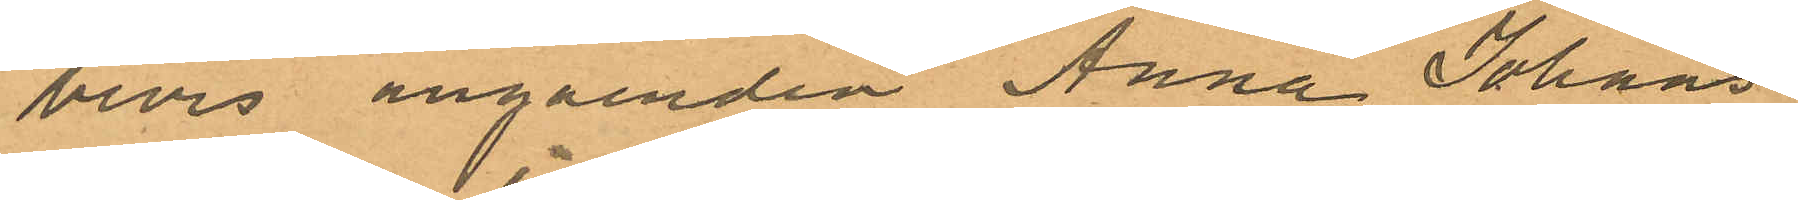bevis angåenden Anna Johans¬
